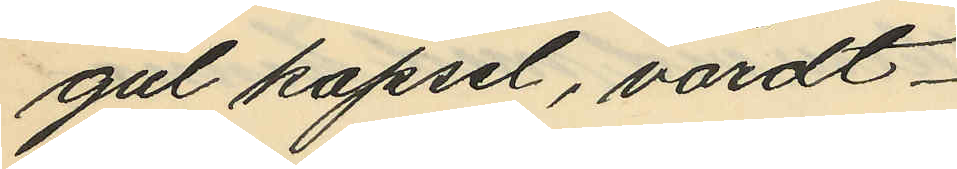gul kapsel, värdt
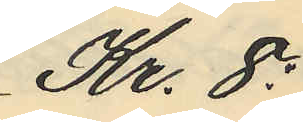Kr. 8:
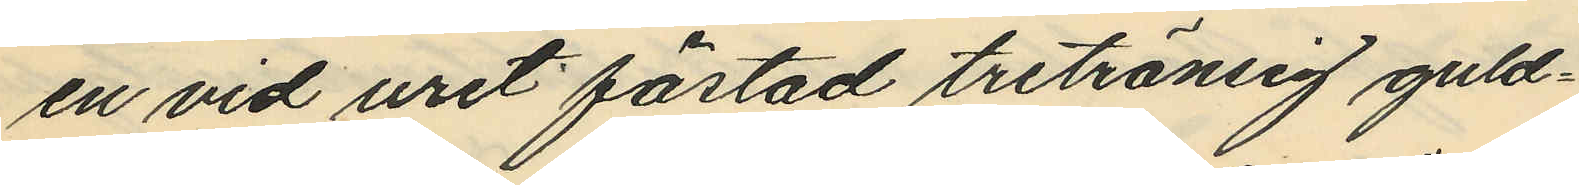en vid uret fästad tretränsig guld¬
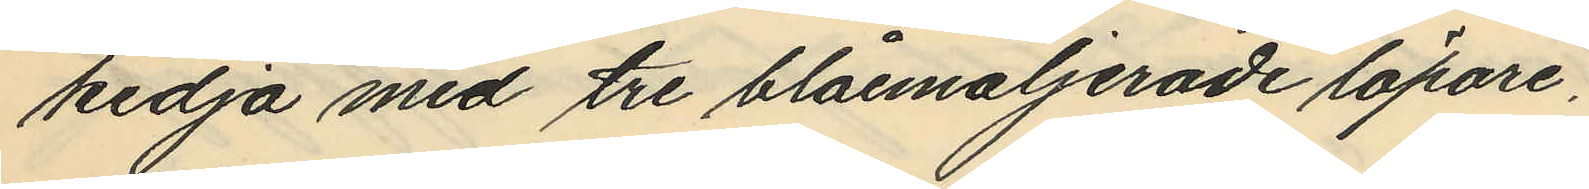kedja med tre blåemaljerade löpare,
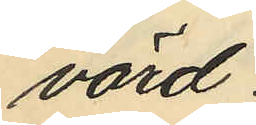värd
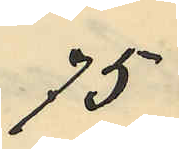75
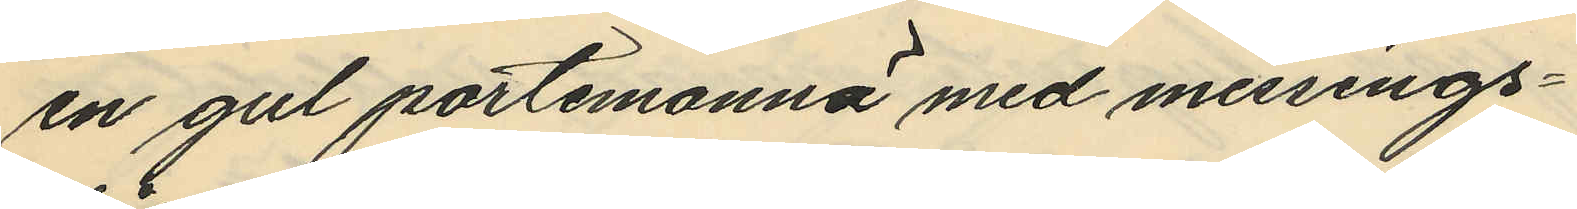en gul portmonnä med messings¬
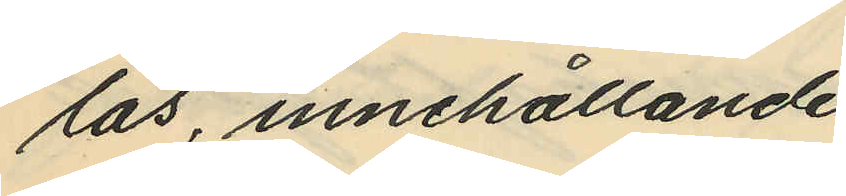lås, innehållande
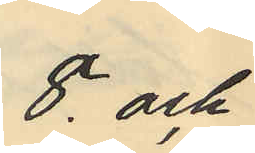8 och
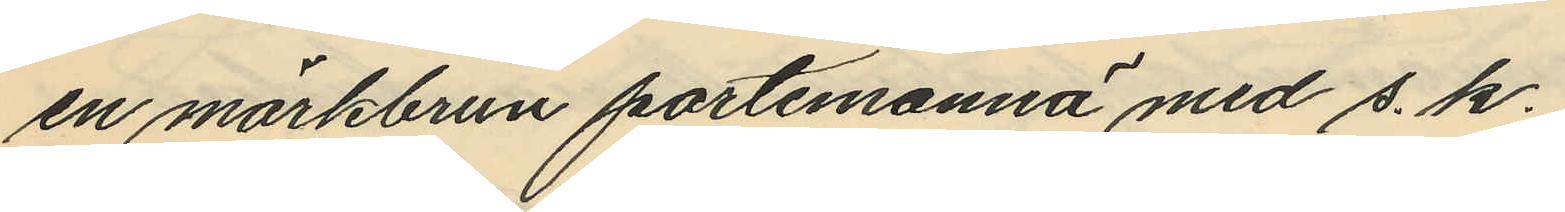en mörkbrun portmonnä med s. k.
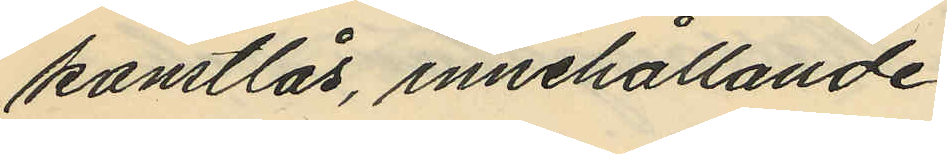konstlås, innehållande
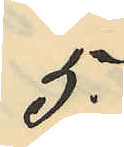5:
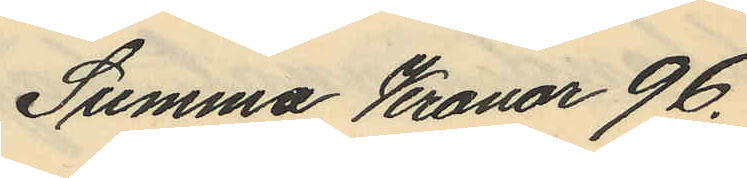Summa Kronor 96.
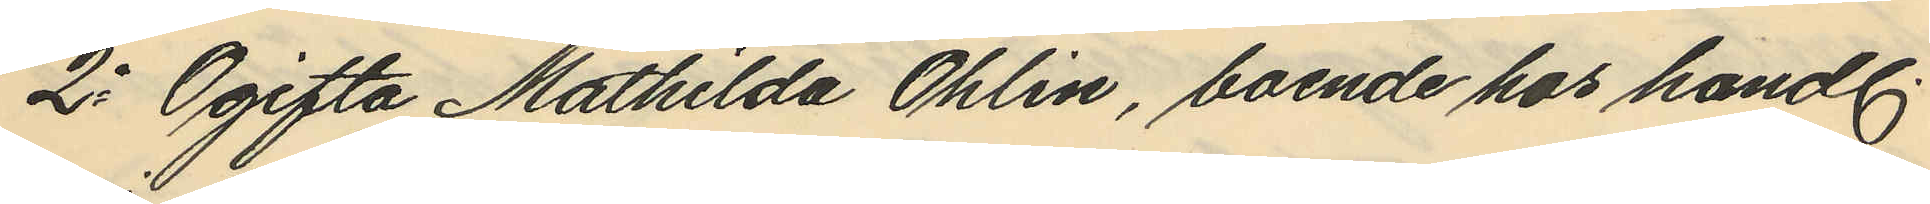2o Ogifta Mathilda Ohlin, boende hos handl.
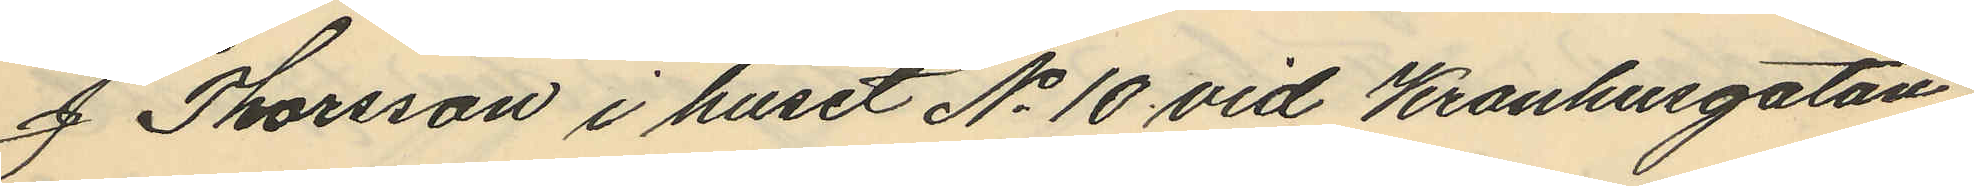J Thorsson i huset No 10 vid Kronhusgatan,
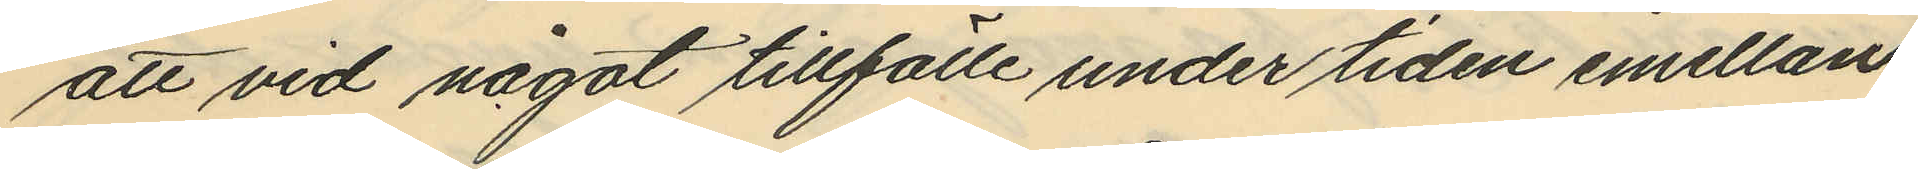att vid något tillfälle under tiden emellan
